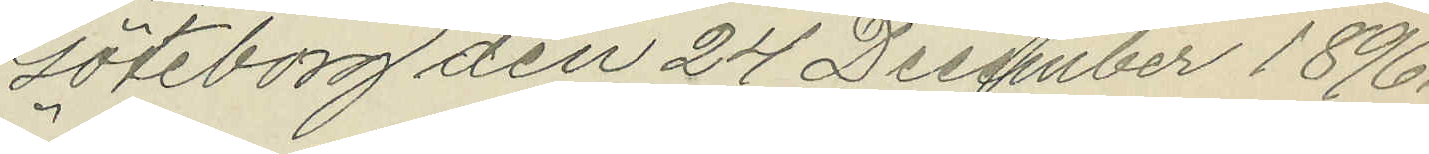Göteborg den 24 December 1896.
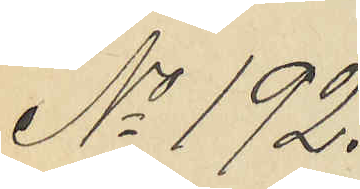No 192.
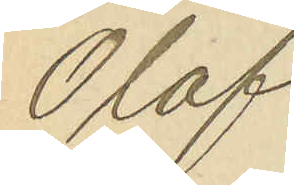Olof
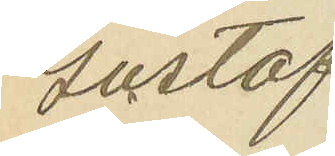Gustaf
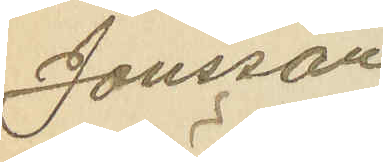Jonsson
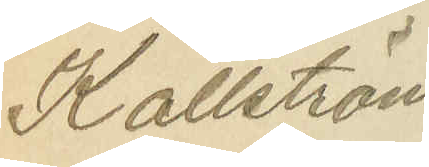Källström.
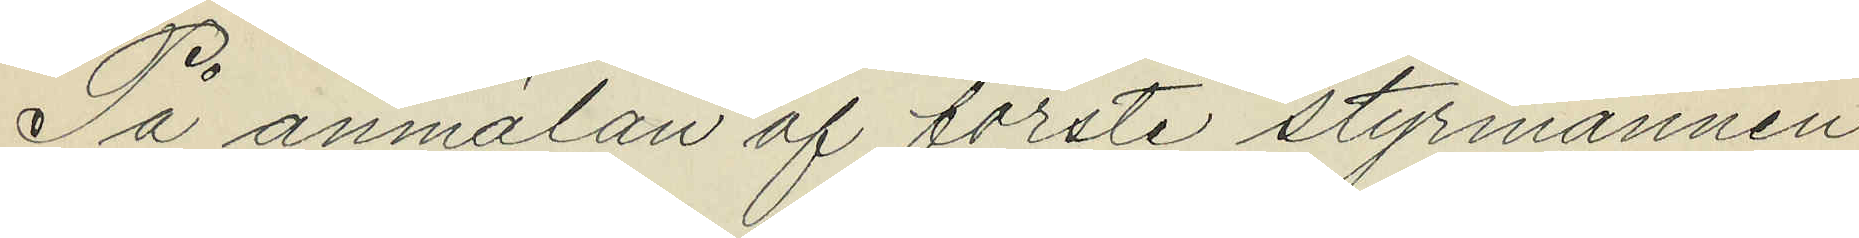På anmälan af förste styrmannen
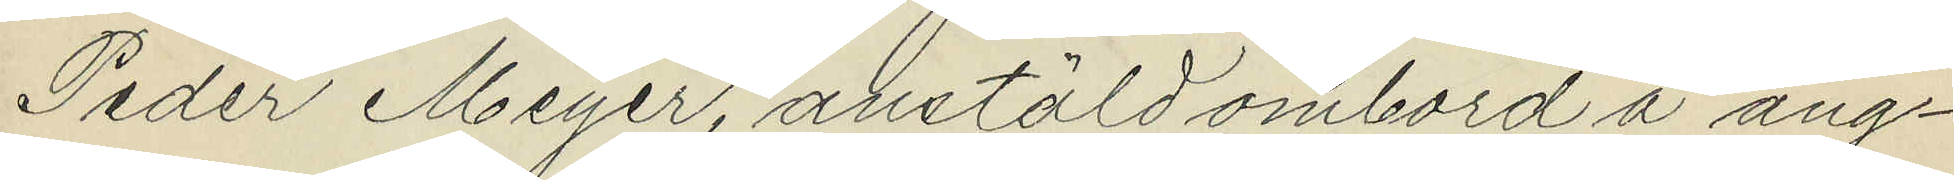Peder Meyer, anstäld ombord å ång¬
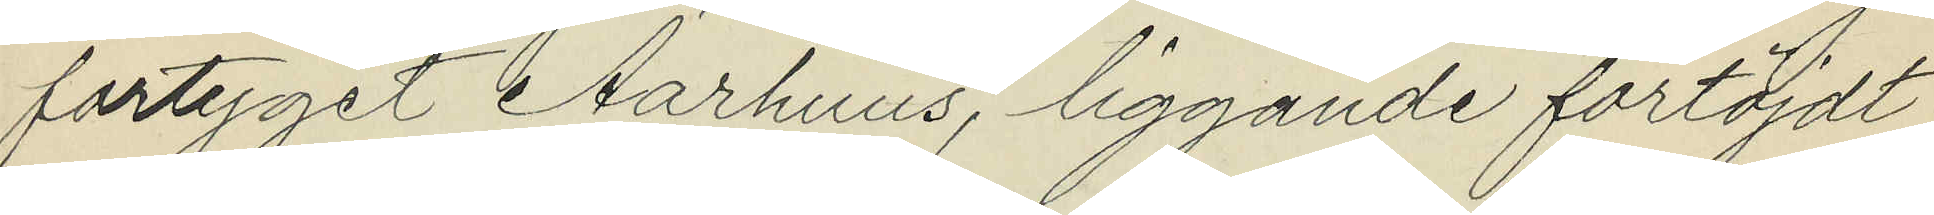fartyget Aarhuus, liggande förtöjdt
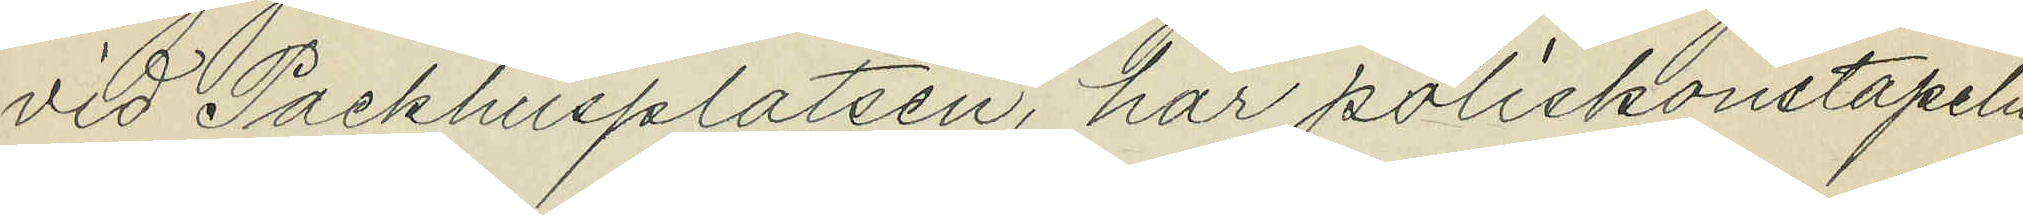vid Packhusplatsen, har poliskonstapeln
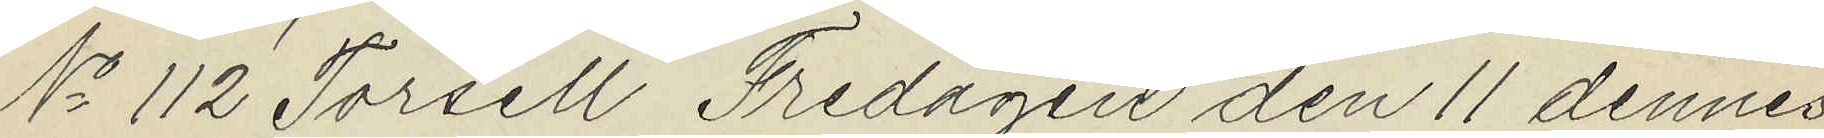No 112 Torsell Fredagen den 11 dennes
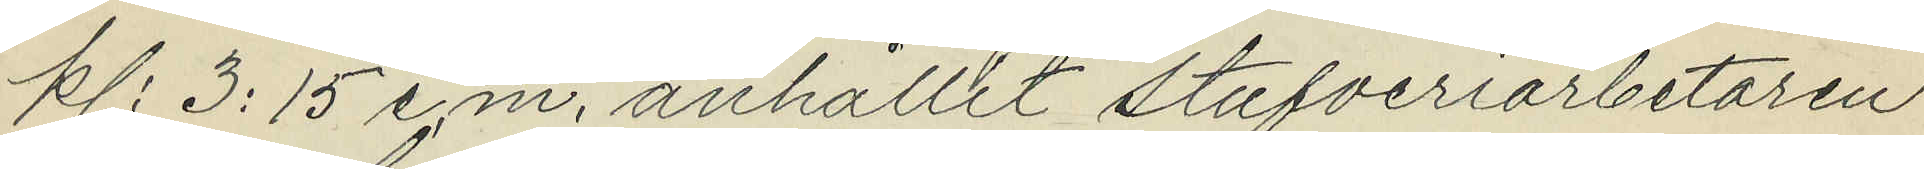kl. 3:15 e.m. anhållit stufveriarbetaren
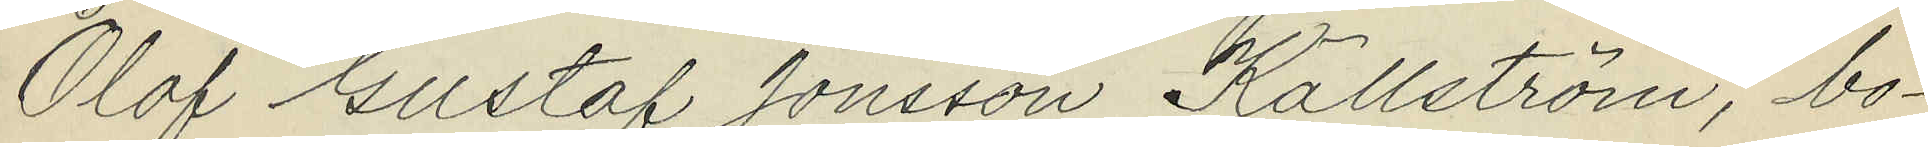Olof Gustaf Jonsson Källström, bo¬
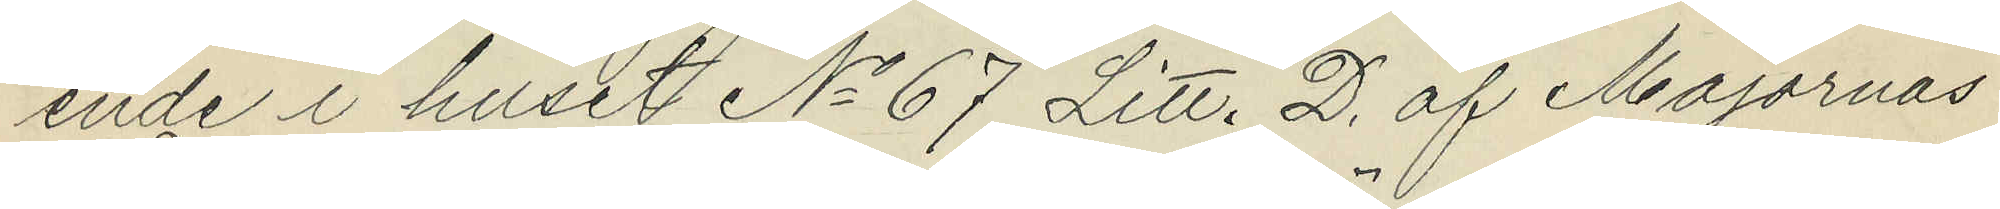ende i huset No 67 Litt. D. af Majornas
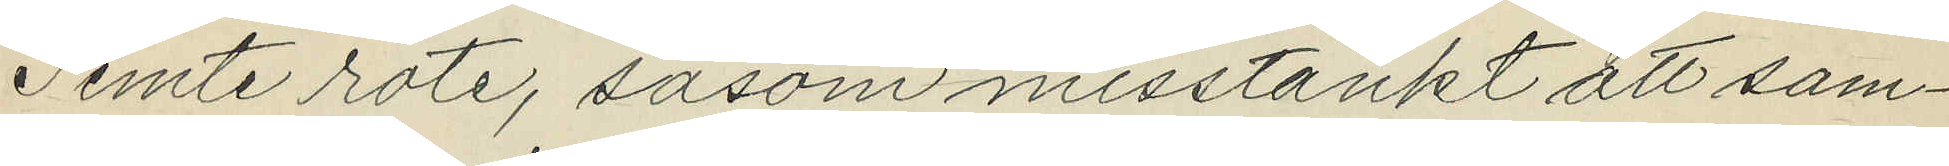Femte rote, såsom misstänkt att sam¬
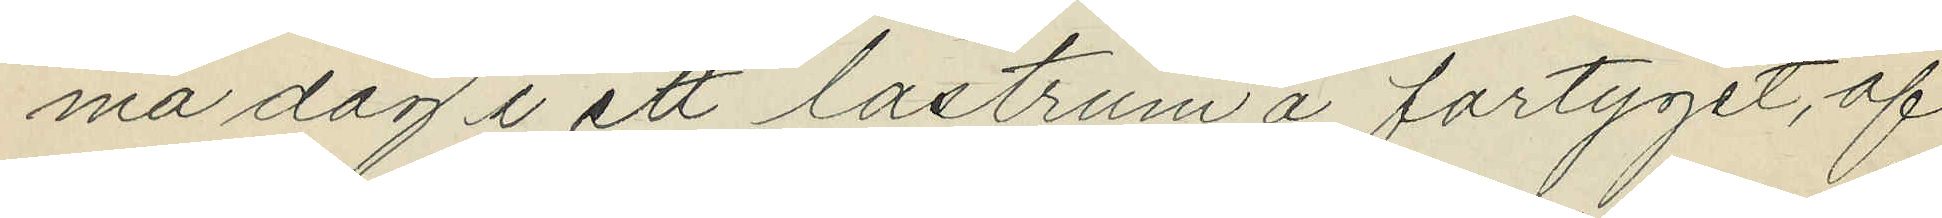ma dag i ett lastrum å fartyget, af
